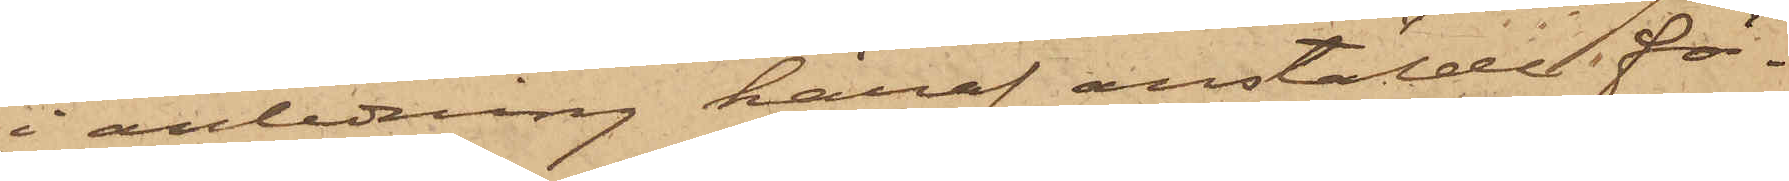i anledning häraf anstälde för¬
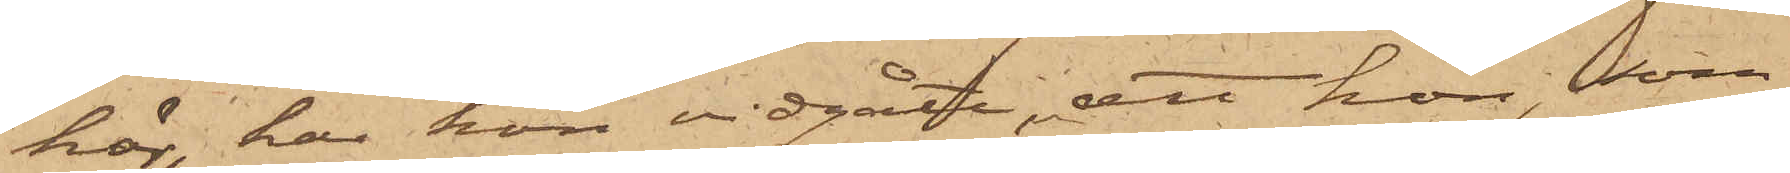hör, har hon vidgått, att hon, som
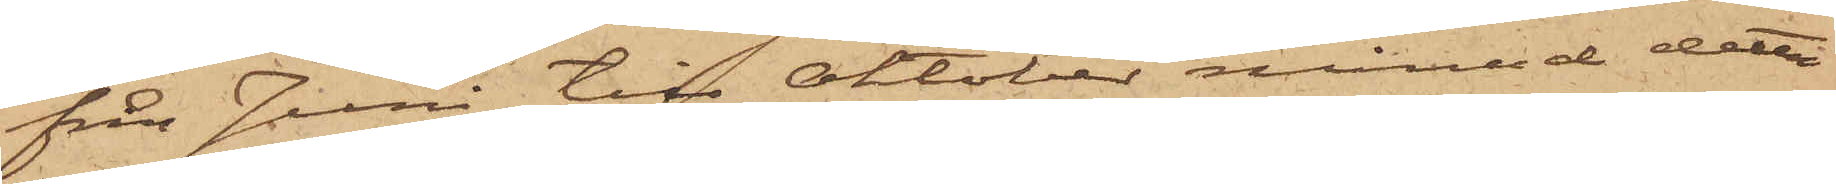från Juni till Oktober månad detta
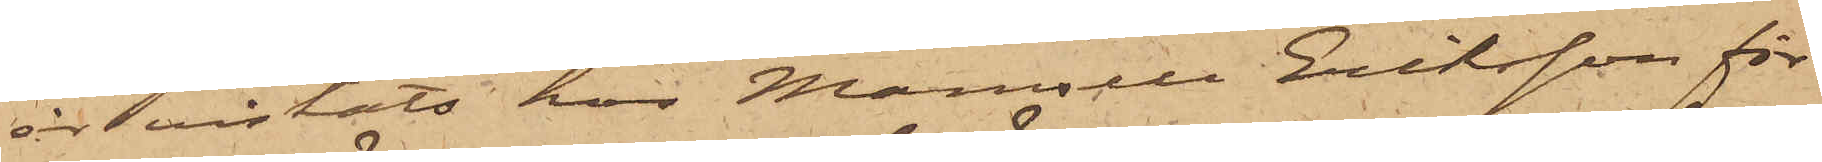år vistats hos Mamsell Eriksson för
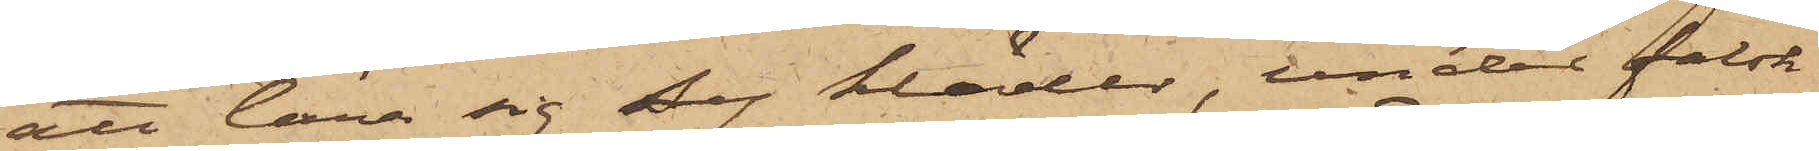att lära sig Sy kläder, under falsk
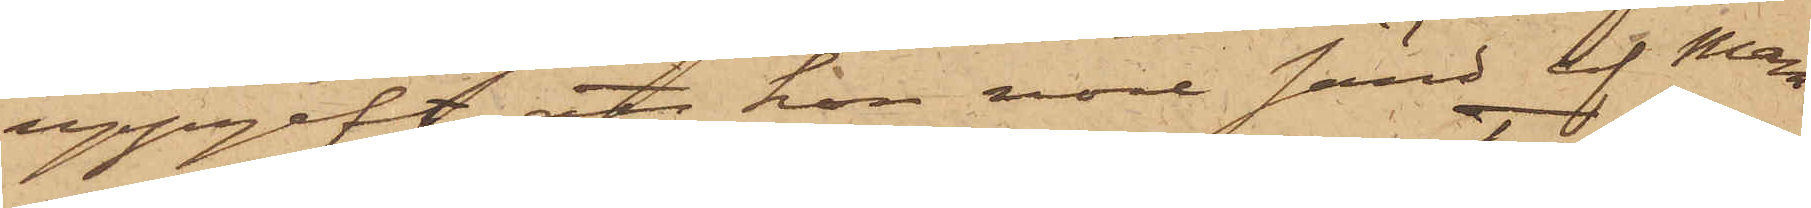uppgift att hon vore sänd af Mam¬
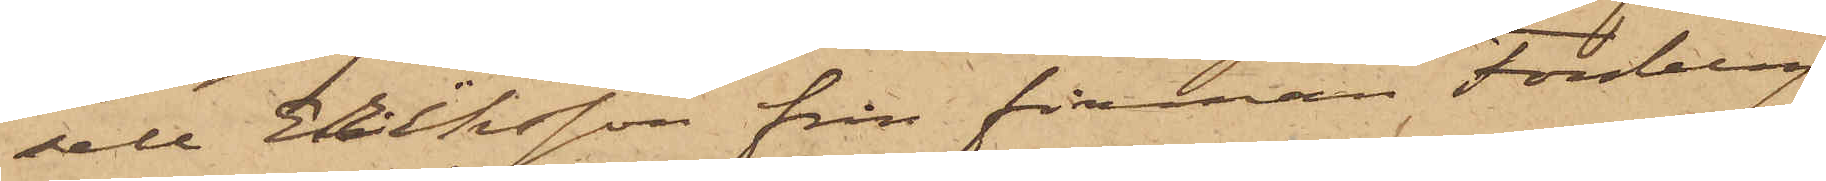sell Eriksson från firman Forsberg
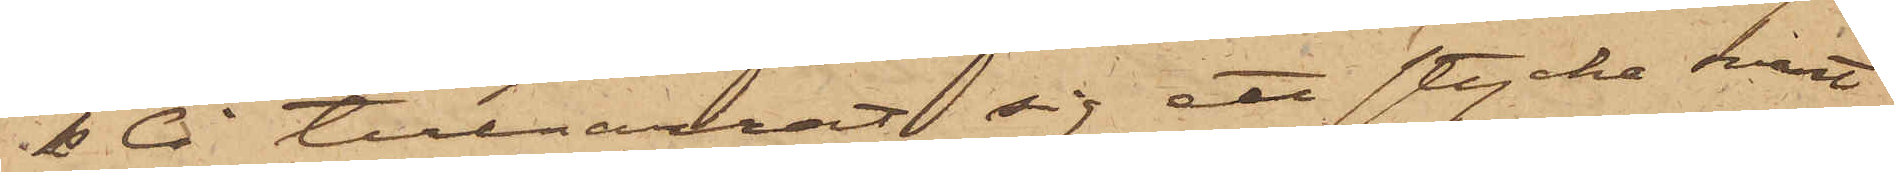& Ci tillnarrat sig ett stycke svart
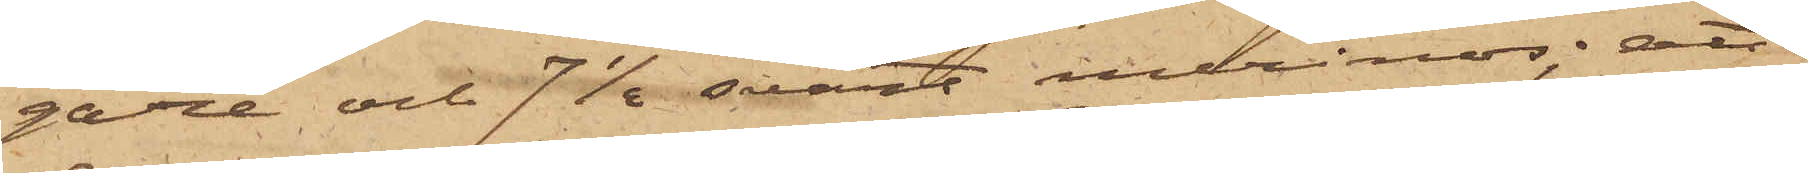gaze och 7 1/2 svart merinos; att
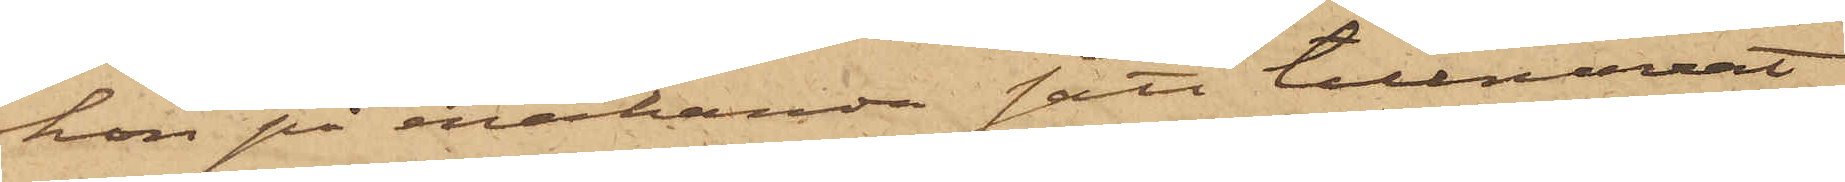hon på enahanda sätt tillnarrat
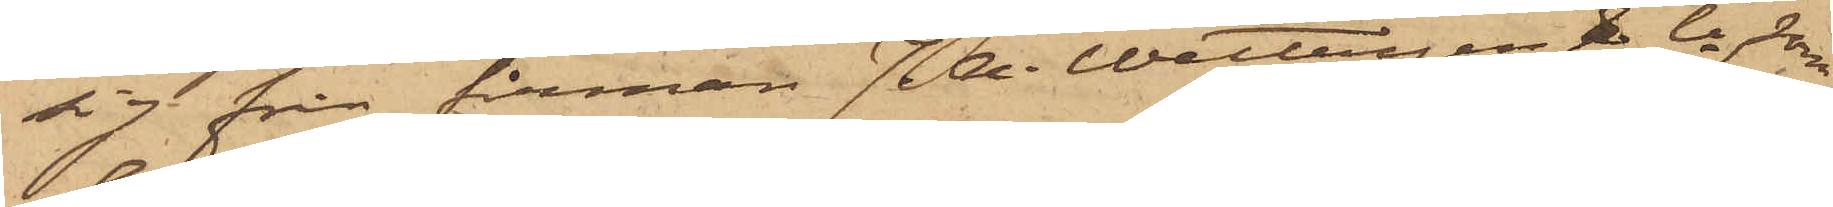sig från firman J. A. Wettergen & Ci, som
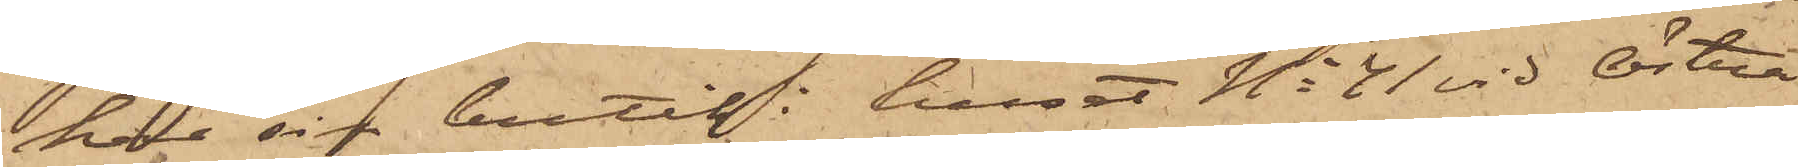har sin butik i huset No 41 vid Östra
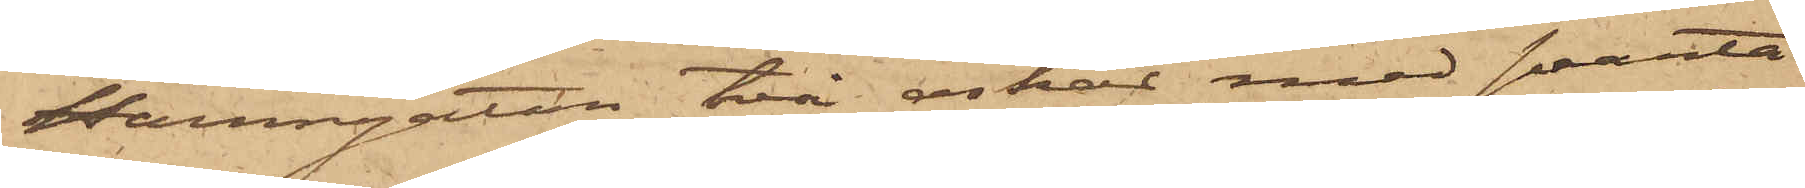Hamngatan, två askar med svarta
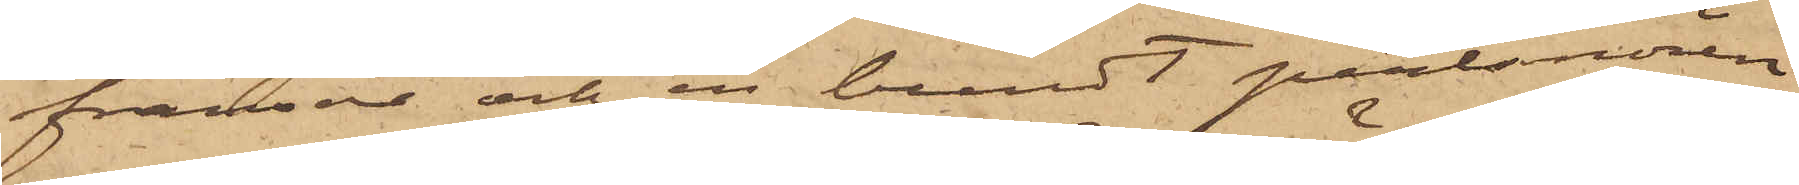fransar och en bundt perlsnören
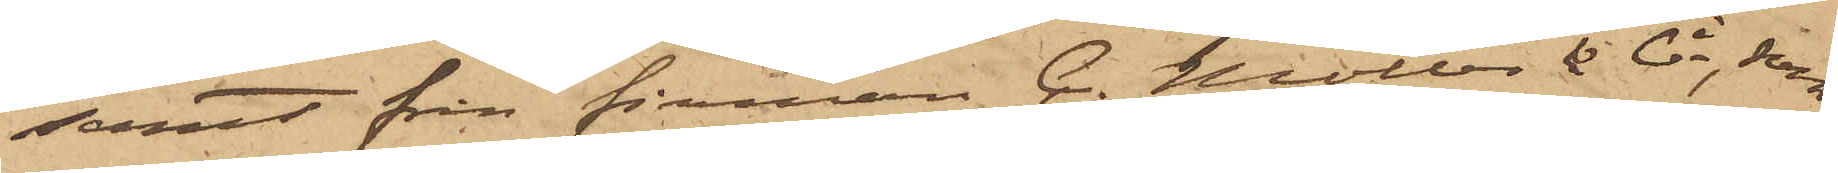samt från firman C. Möller & Ci, som
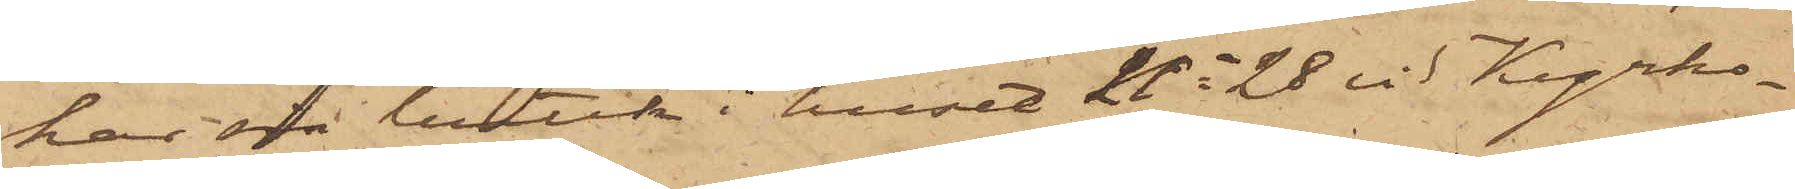har sin butik i huset No 28 vid Kyrko¬
